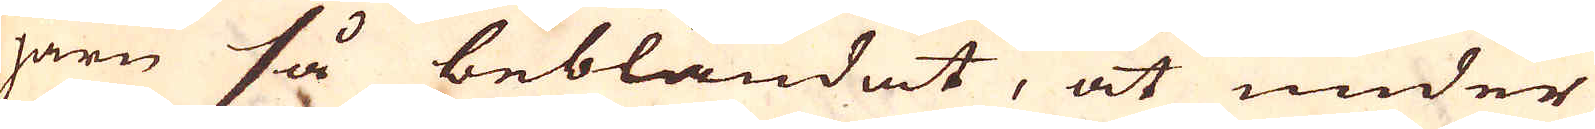järn så beblandat, at under
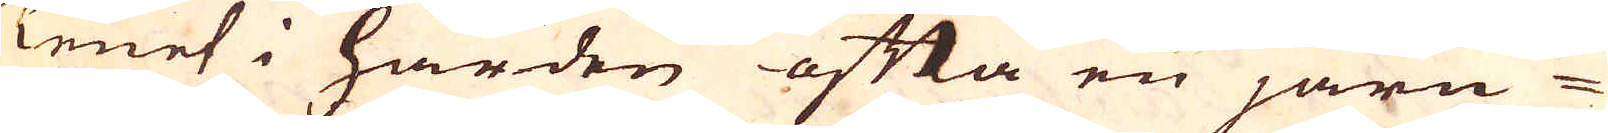Tenet i härden ofta en järn
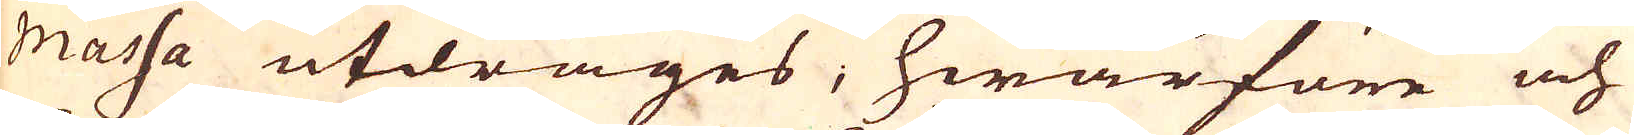massa utdrages, hwarföre och
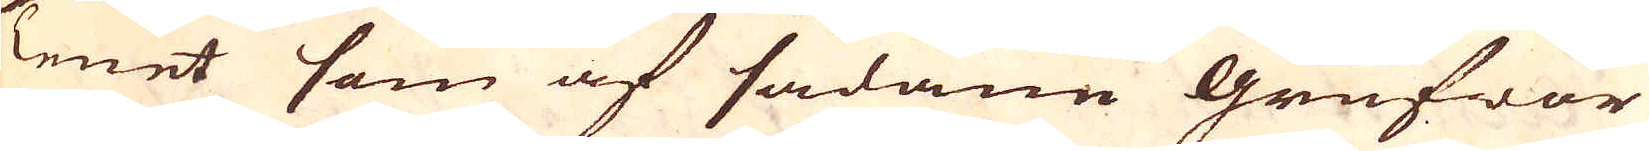Tenet som af sådane grufwor
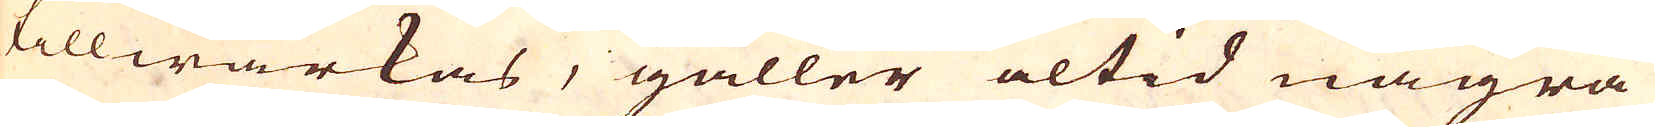tillwärkas, gäller altid några
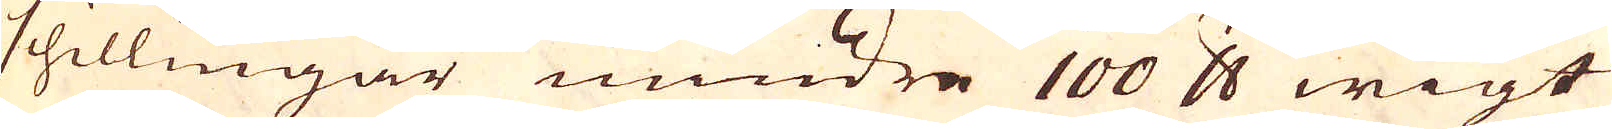schillingar mindre 100 skålpund wigt
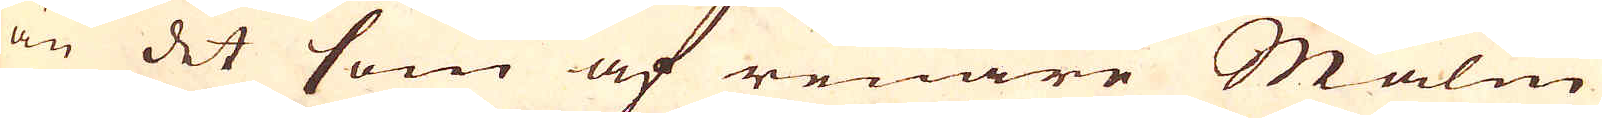än det som af renare Malm
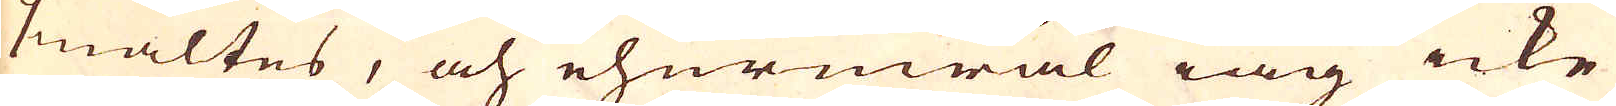smältes, och ehuruwäl iag icke
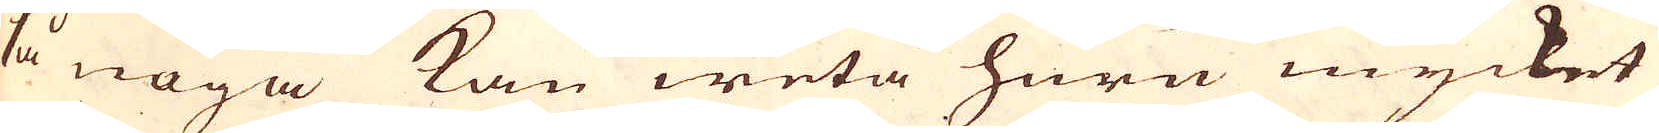så noga kan weta huru mycket
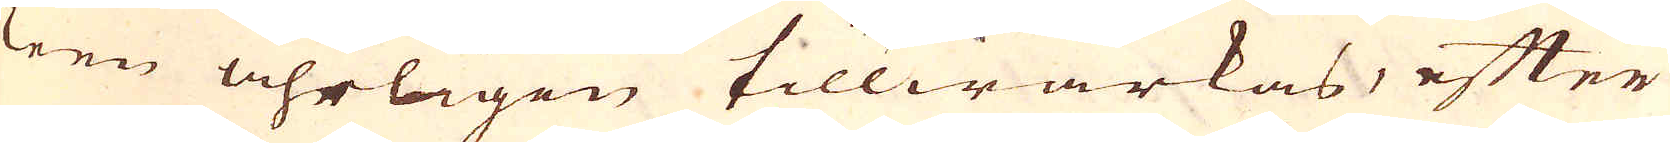Teen åhrligen tillwärkas, efter
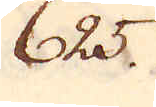625.
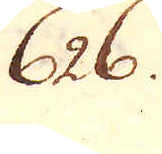626.
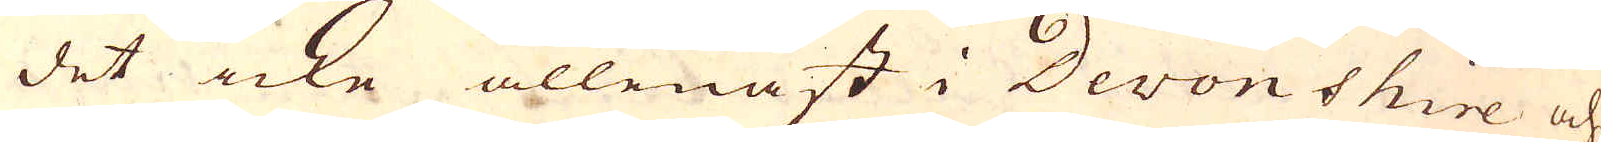det icke allenast i Devonshire och
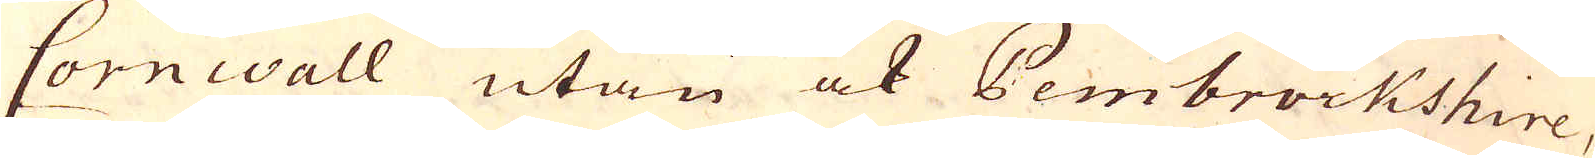Cornwall utan ock Pembrockshire,
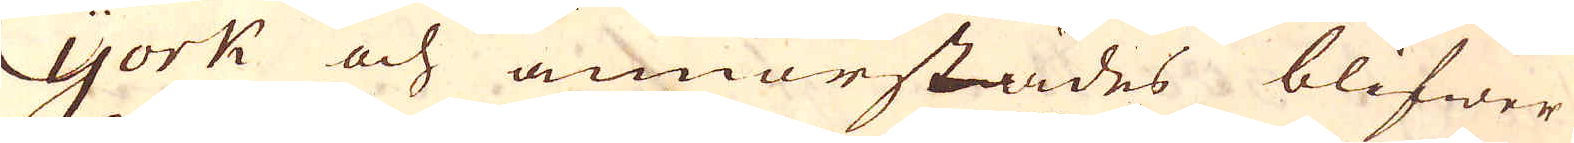York och annorstädes blifwer
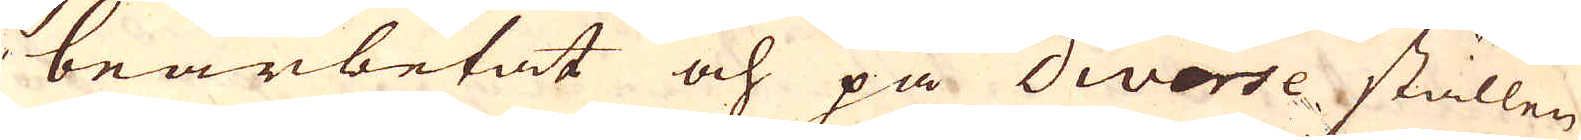bearbetat och på diverse ställen
